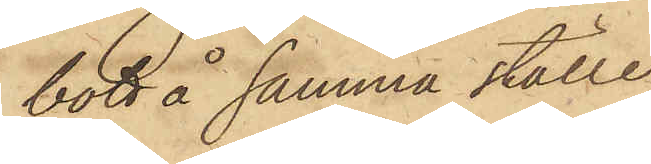bott å samma ställe
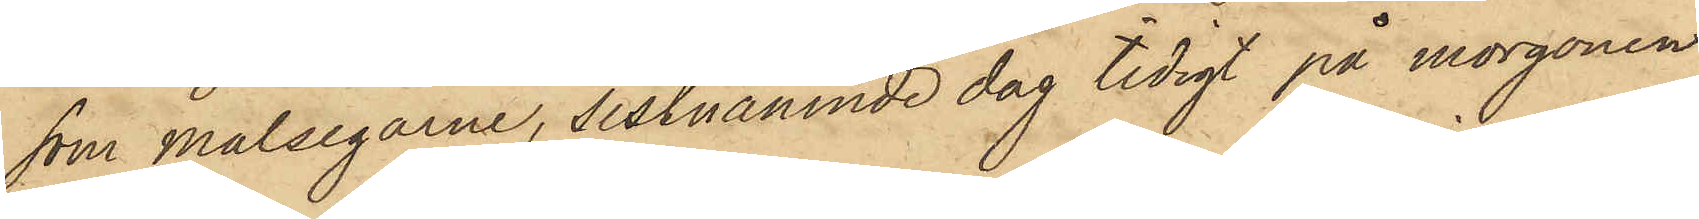som Målsegarne, sistnämnde dag tidigt på morgonen
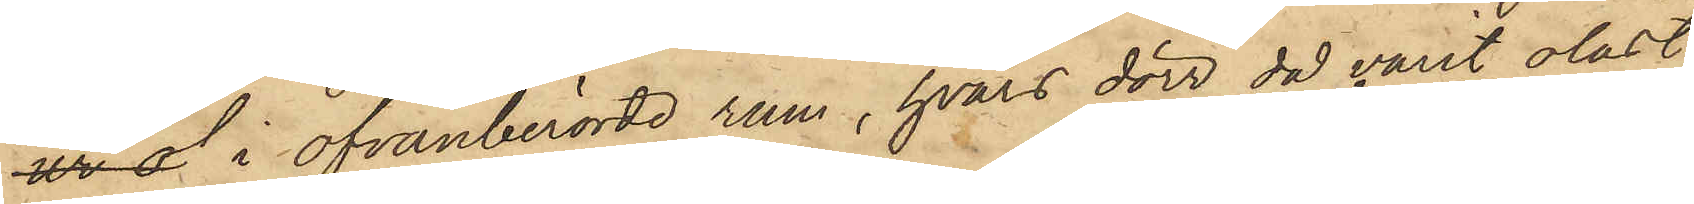ur of i ofvanberörde rum, hvars dörr då varit olåst,
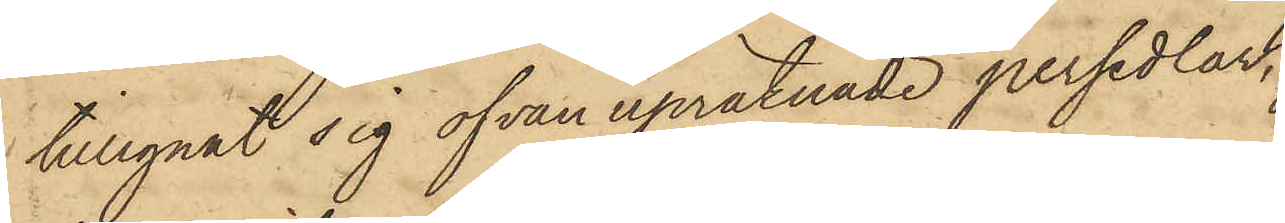tillegnat sig ofvan upräknade persedlar,
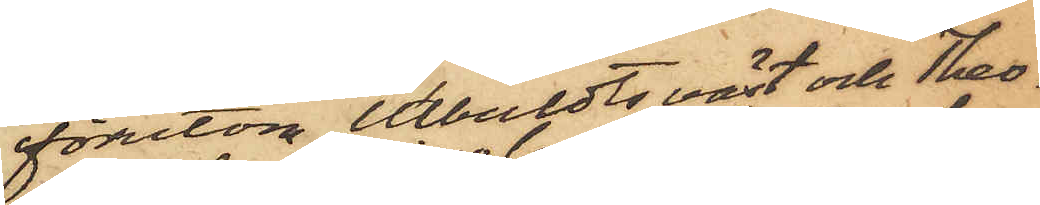förutom Utbuldts väst och Theo¬
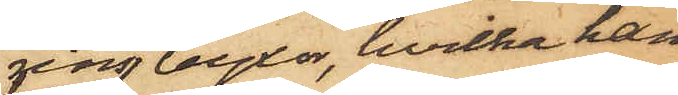rins byxor, hvilka han
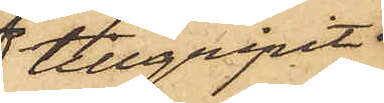 tillgripit
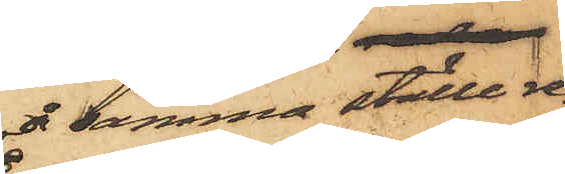å samma ställe re¬
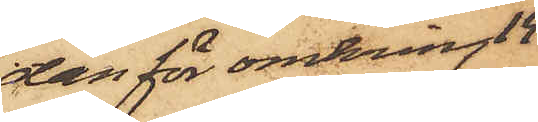dan för omkring 14
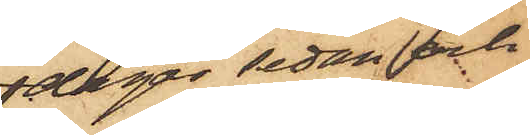dagar sedan och
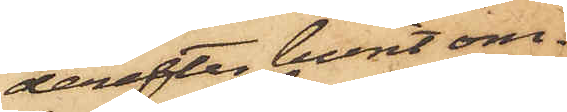derefter burit om¬
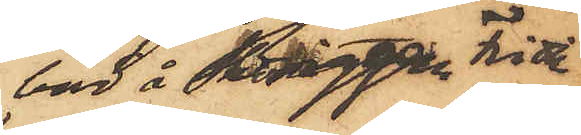bord å Briggen Frida,
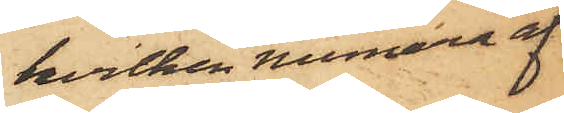hvilken numera af¬
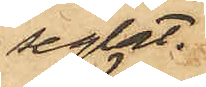seglat.
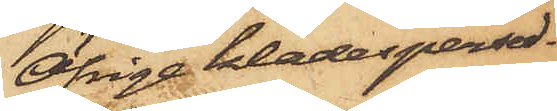Öfrige klädespersed¬
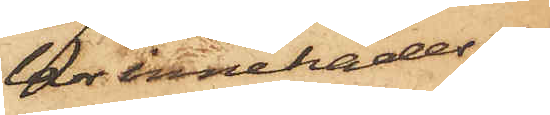lar innehades af
